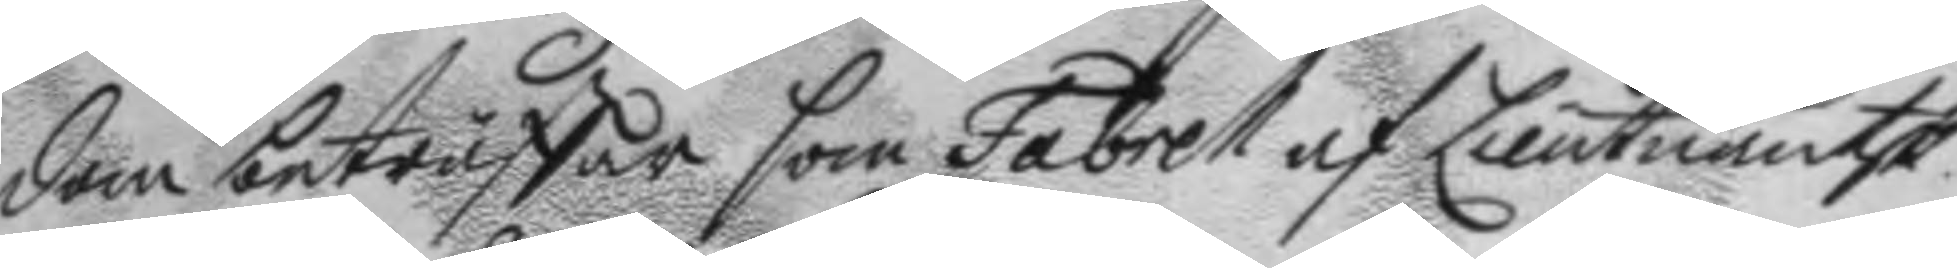dom beträffar som Fabrell af Lieutnantsk.
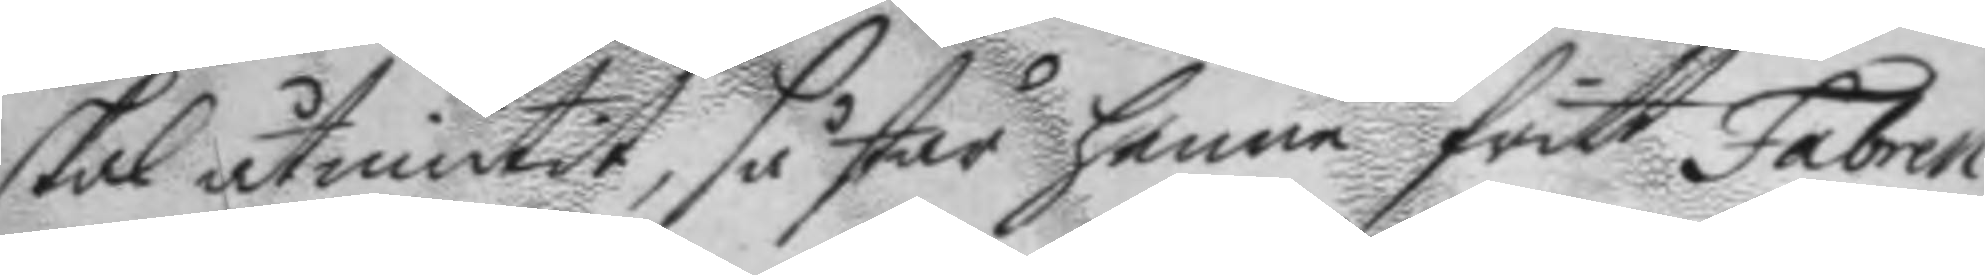skal åtniutit, så står henne fritt Fabrell
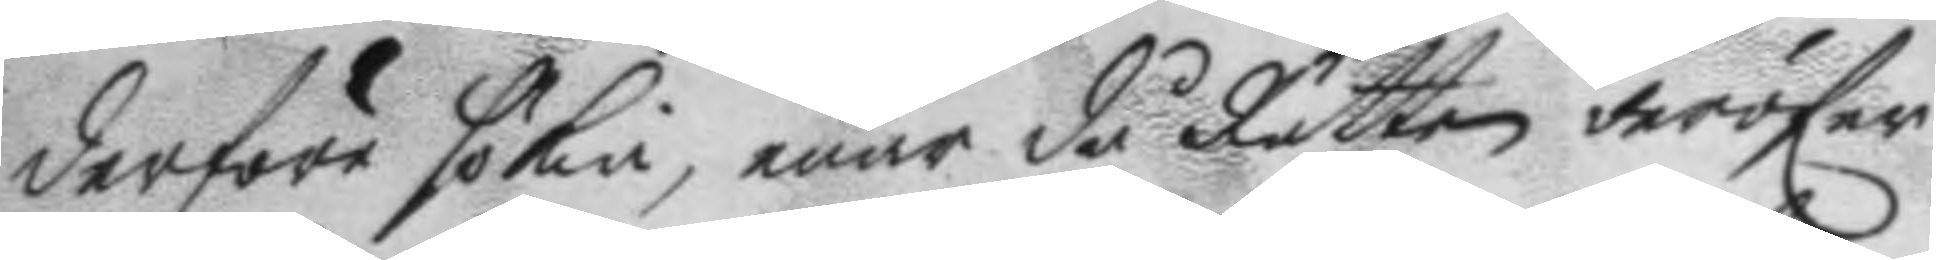derföre sökia, enär då Tätten deröfwer
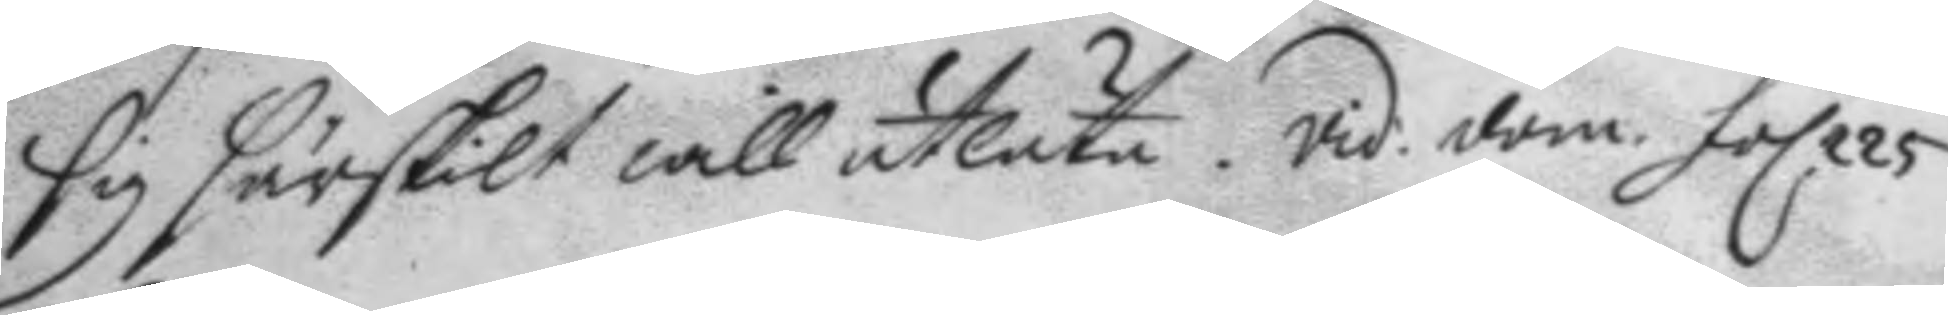sig särskilt will utlåta. vid: dom. fol 225.
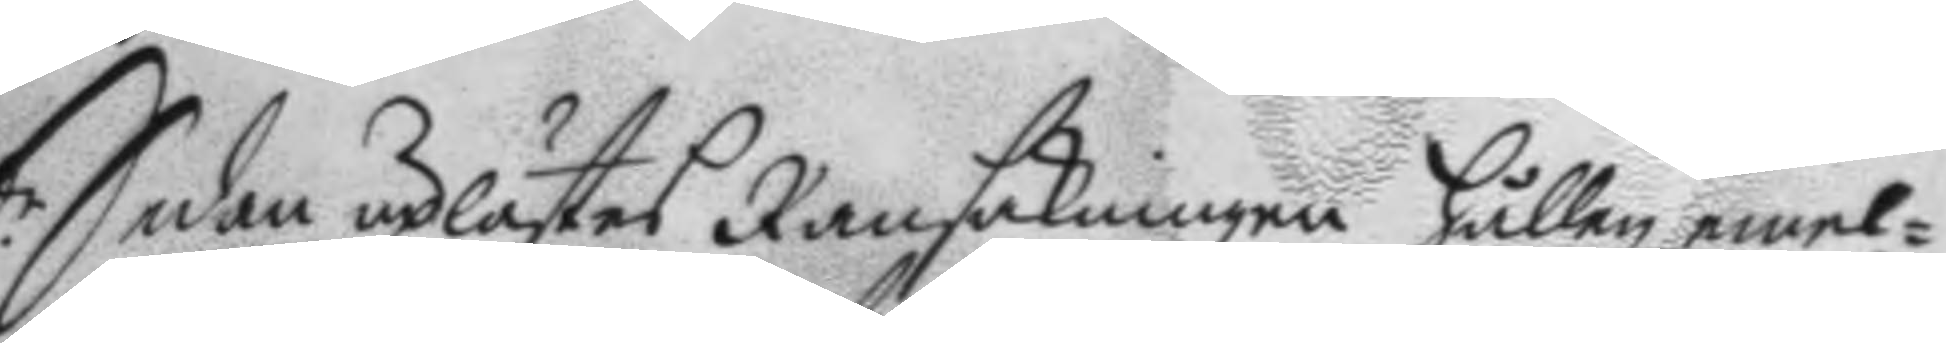Sedan uplästes Ransakningen hållen emel¬
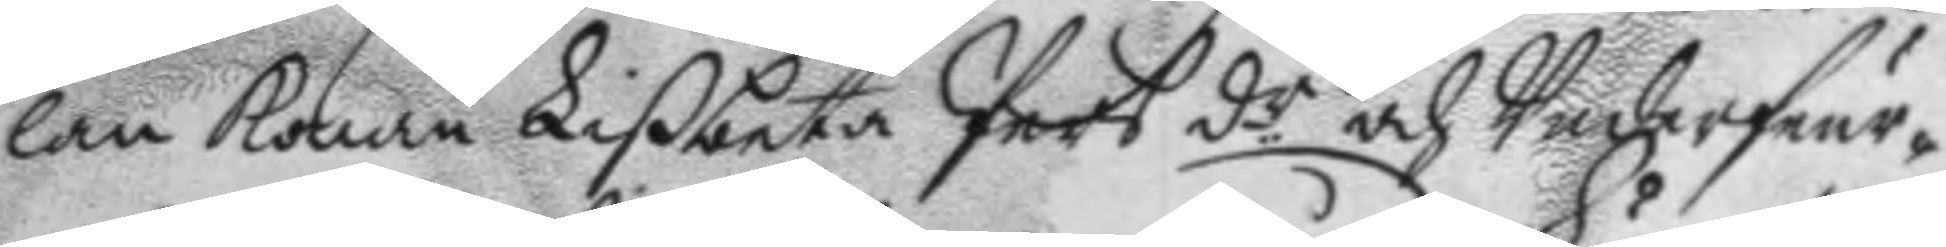lan Konan Lißbeta Pers d.r och Underfeur¬
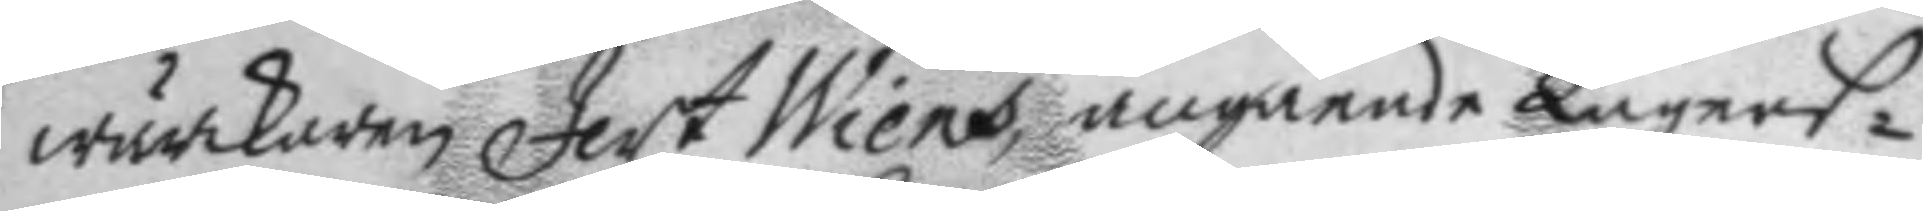wärkaren Jert Wiens, angående Lägers¬
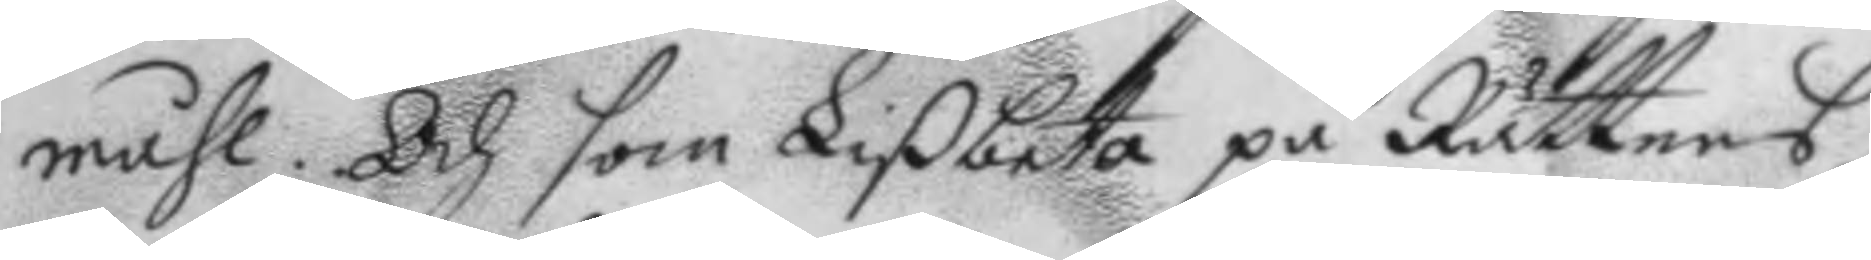måhl. Och som Lisbeta på Rättens
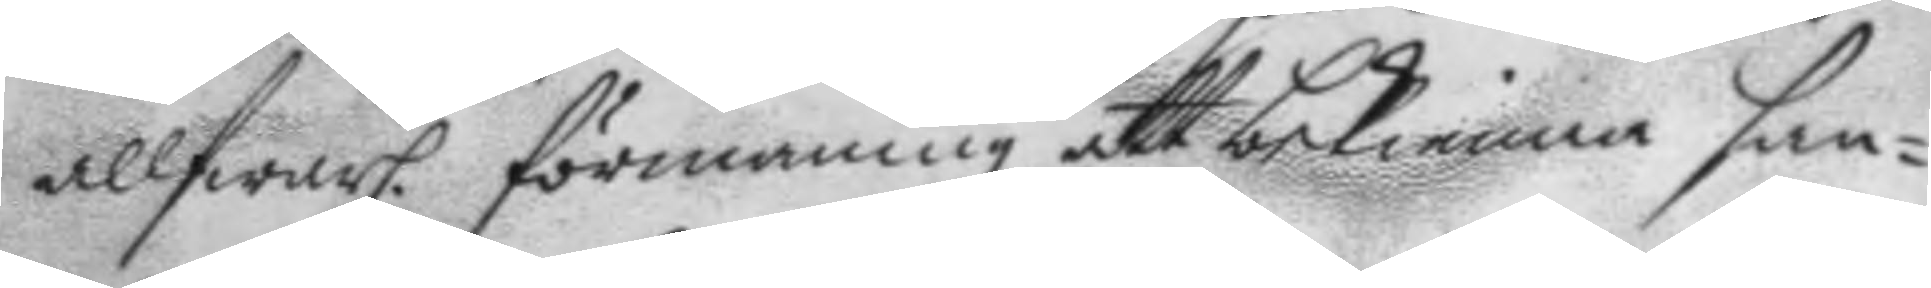allfwarl. förmaninge att bekienna san¬
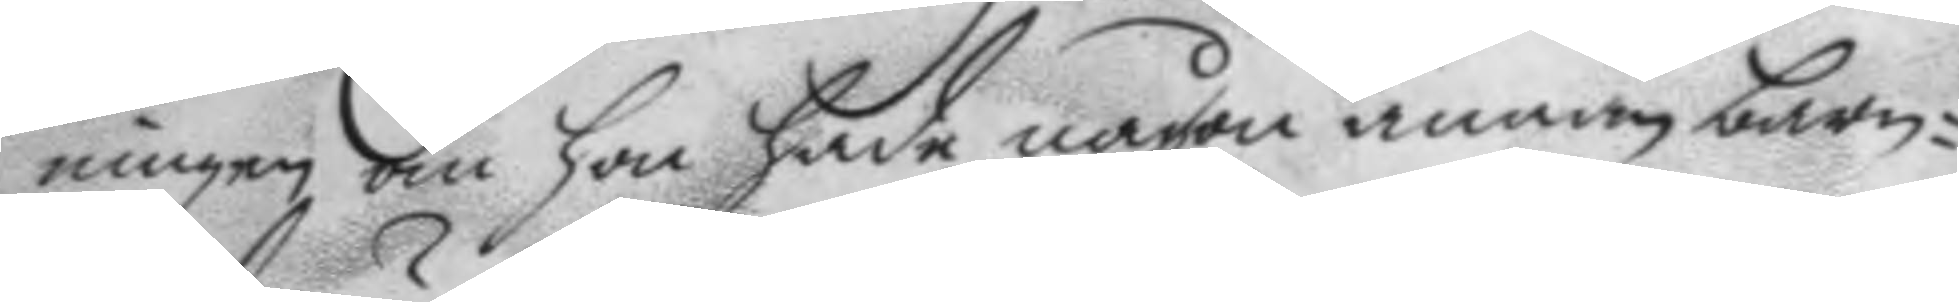ningen om hon hade någon annan barn¬
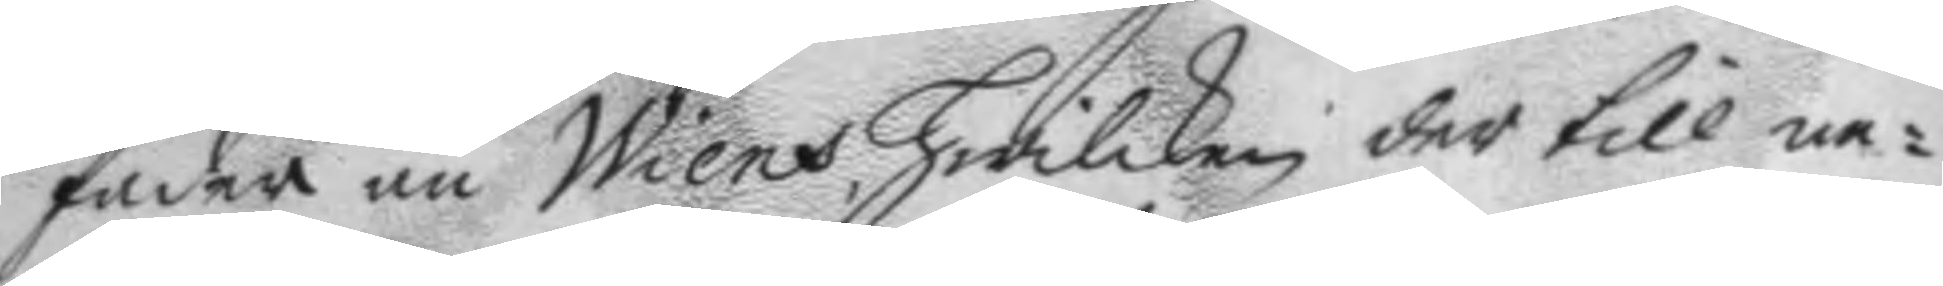fader än Wiens, hwilken der till ne¬
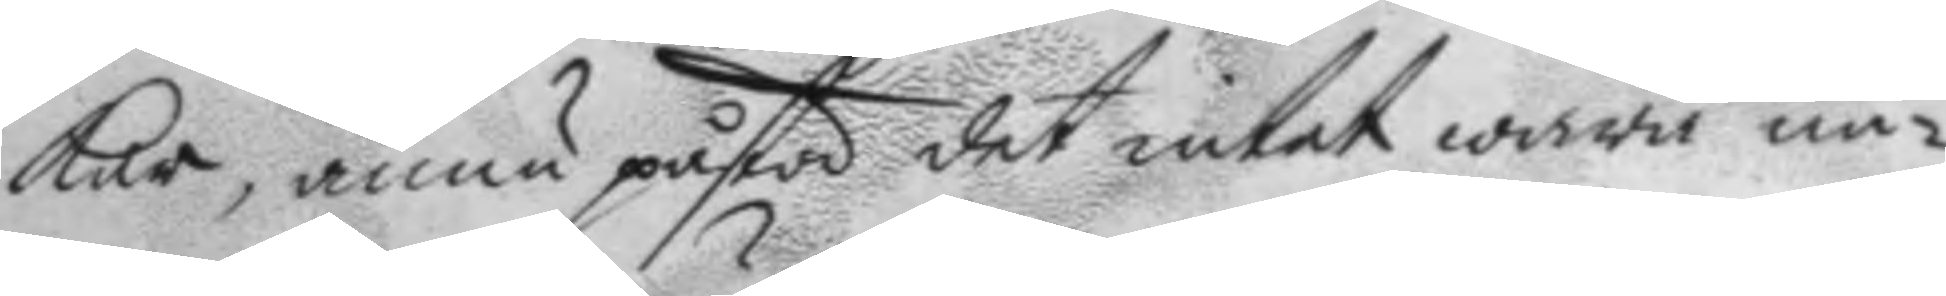kar, ännu påstå det intet wara nå¬
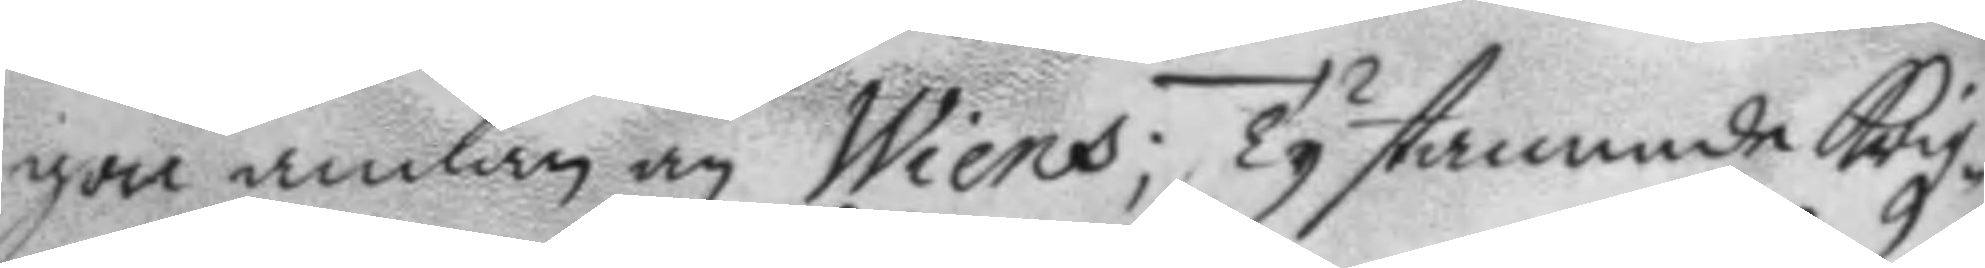gon annan än Wiens; Ty stannade Krigz¬
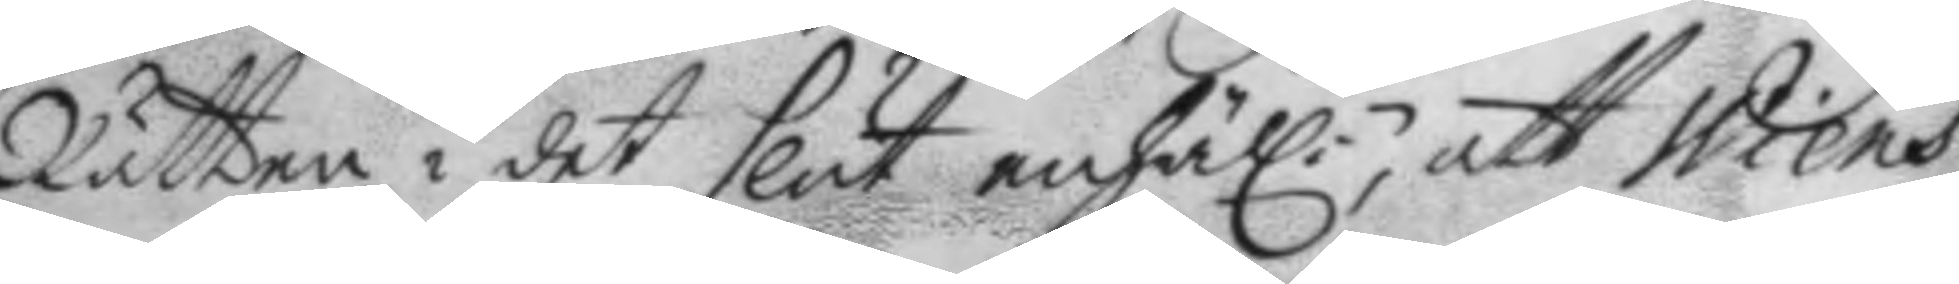Rätten i det slut enhäl:n att Wiens
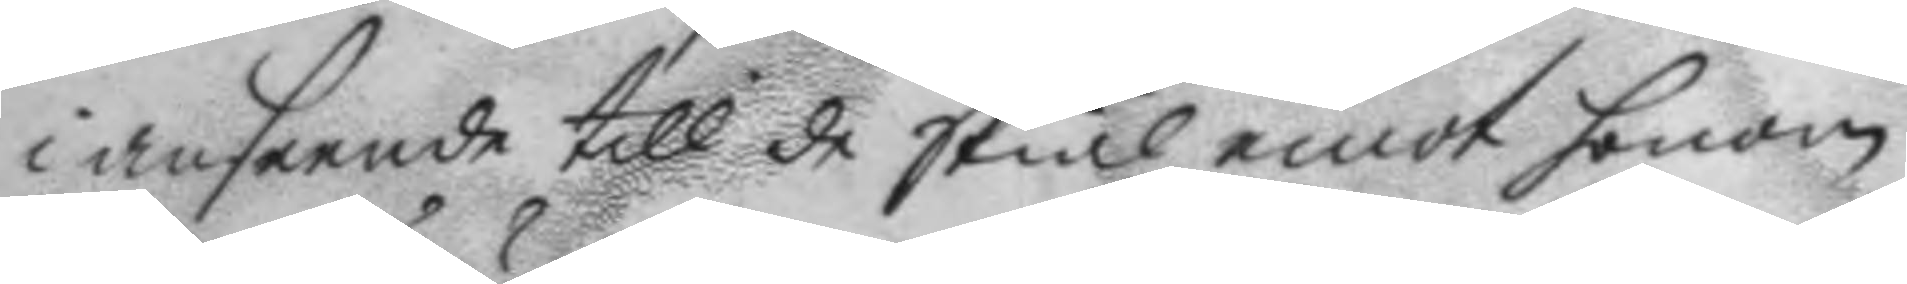i anseende till de Skiäl emot honom
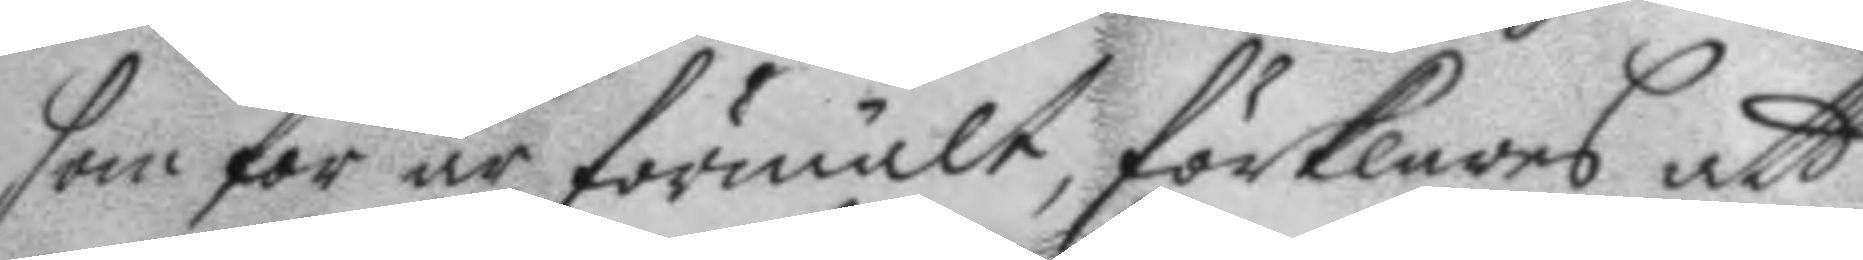som för är förmält, förklares att
